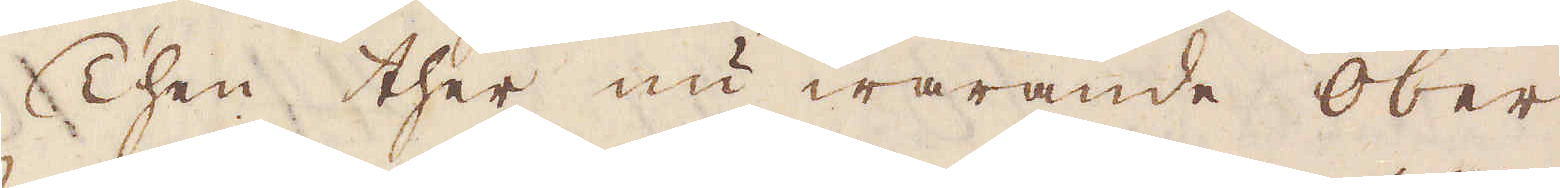Then ther nu warande Ober
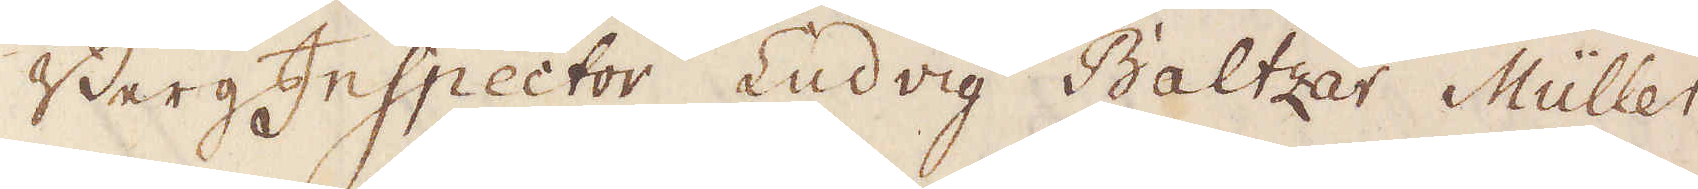BergInspector Ludvig Baltzar Müller
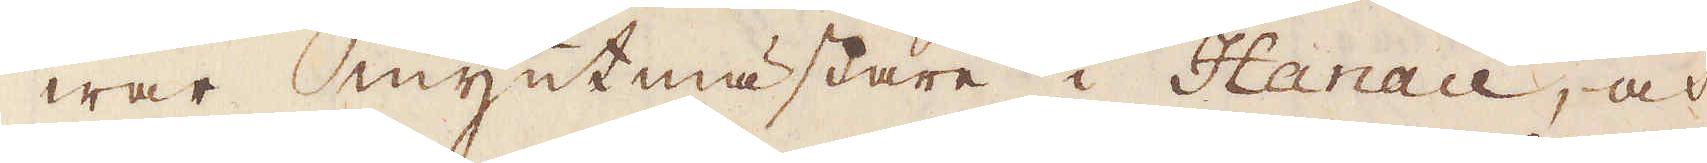war myntmästare i Hanau, och
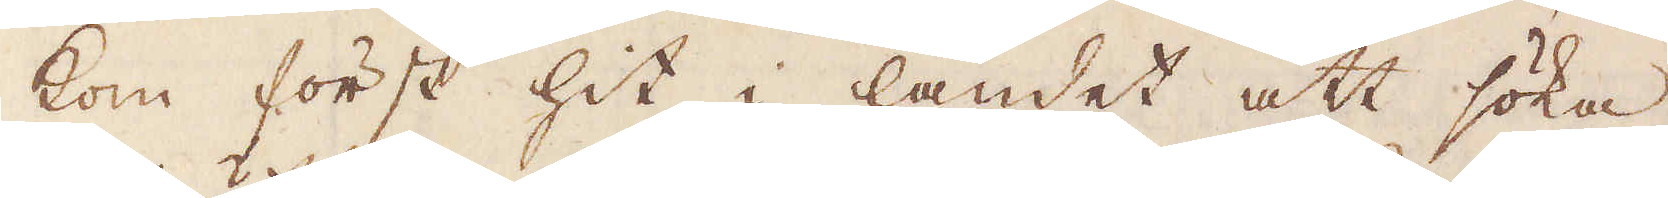kom först hit i landet att söka
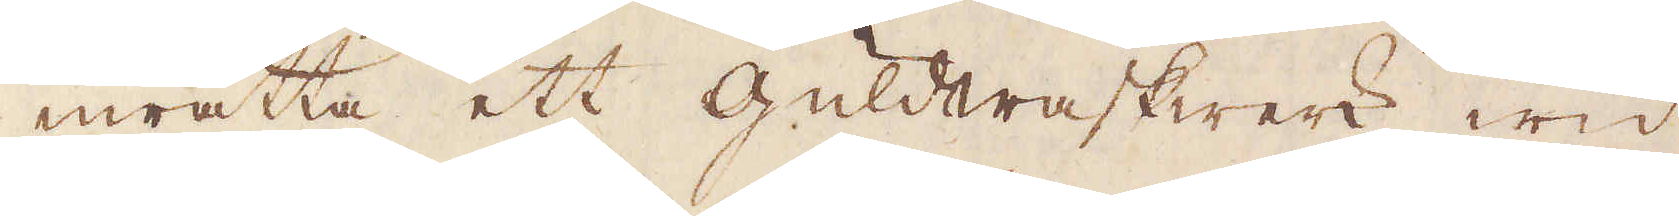inrätta ett Guldwaskwerk wid
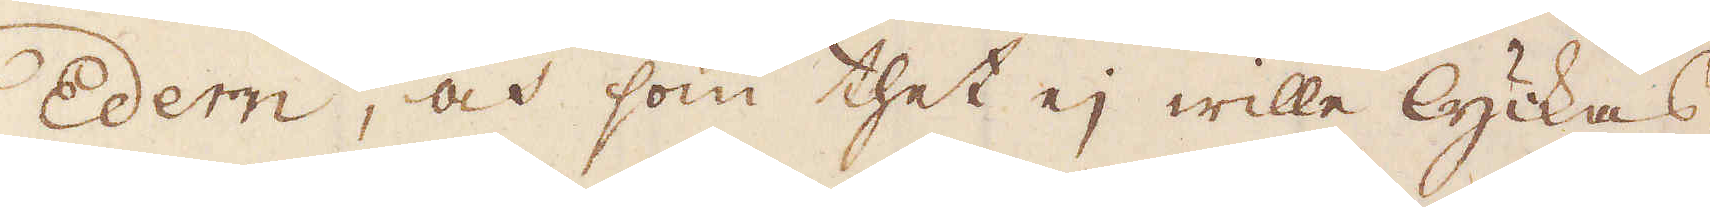Edern, och som thet ej wille lyckas,
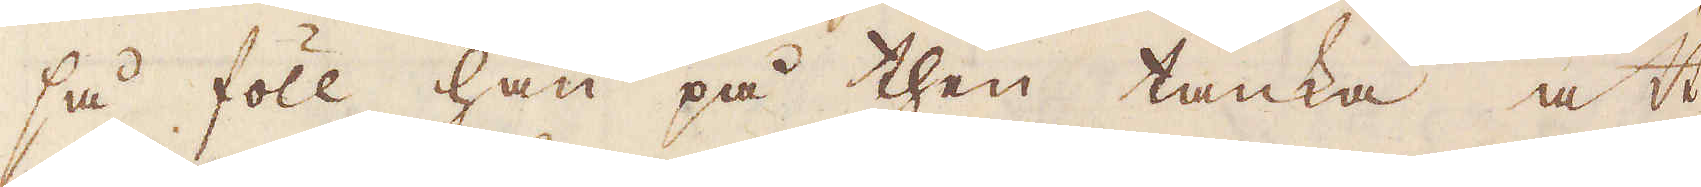så föll han på then tanka att
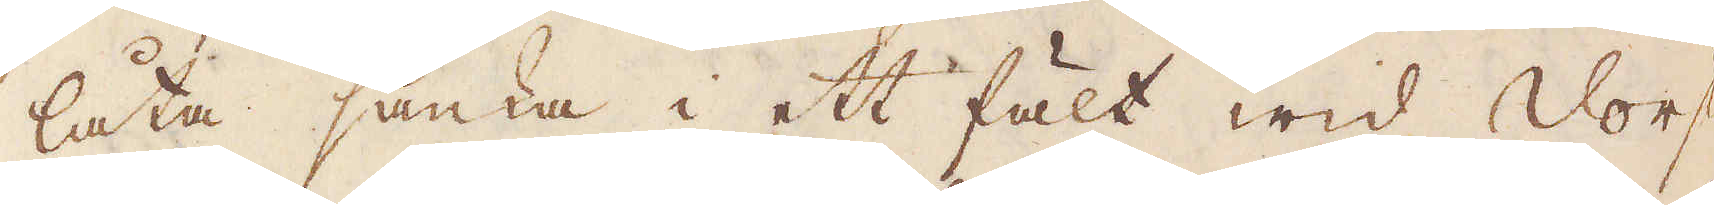låta sänka i ett fält wid Dorff
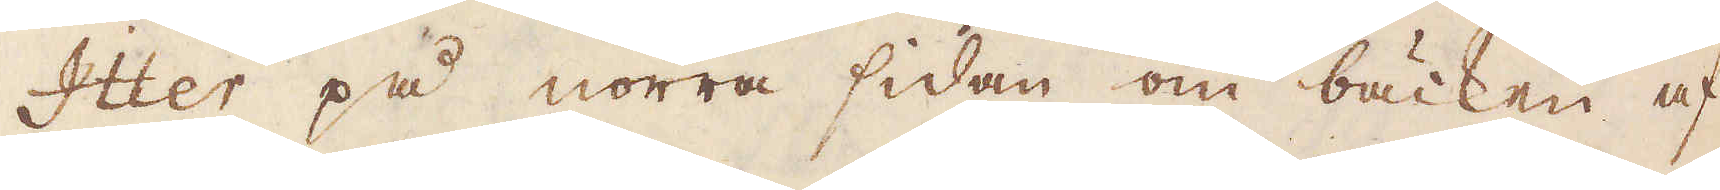Itter på norra sidan om bäcken af
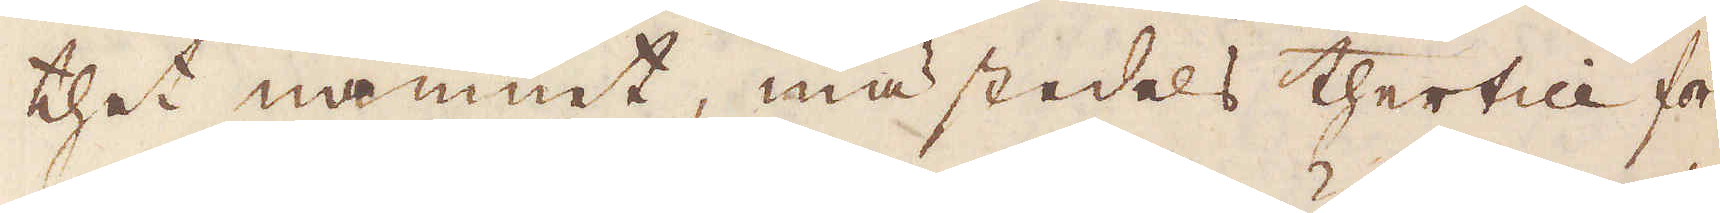thet namnet, mästedels thertill för
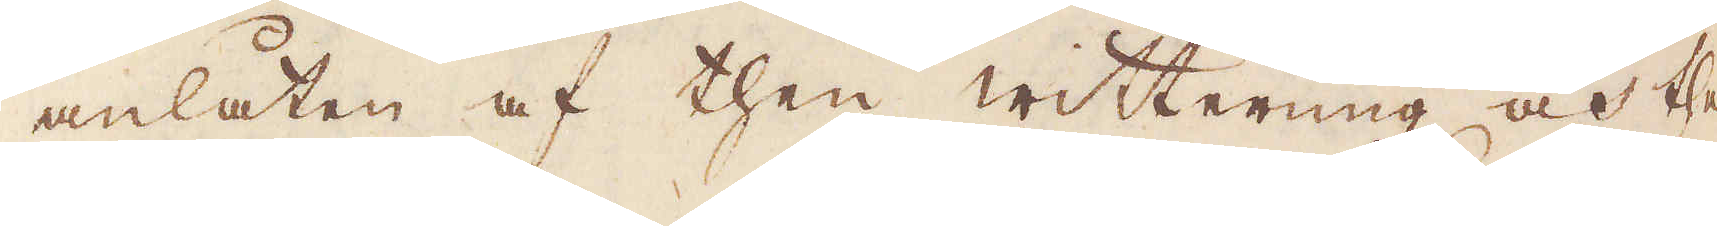anlåten af then witterung och the
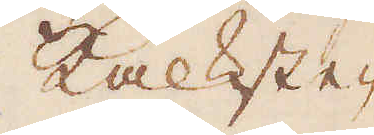kalkste-
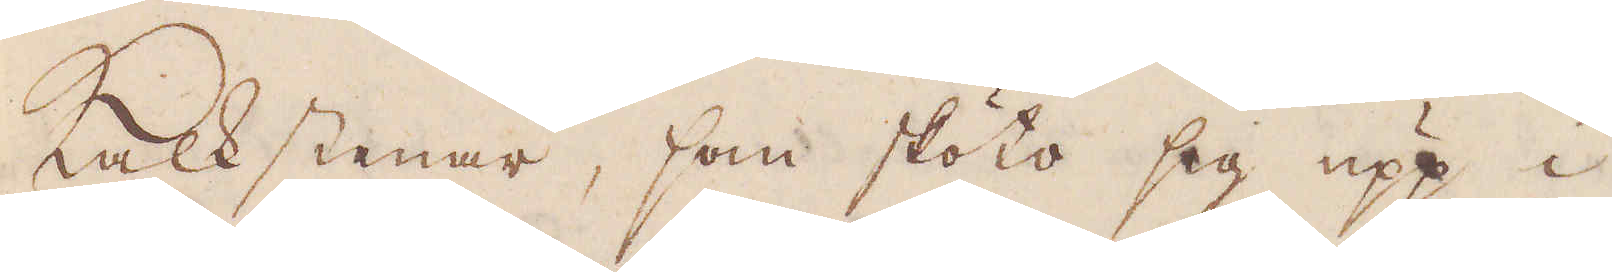Kalkstenar, som sköto sig upp i
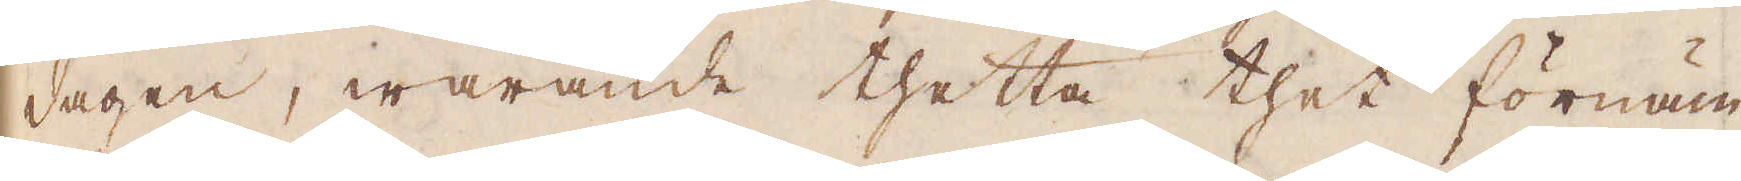dagen, warande thetta thet förnäm-
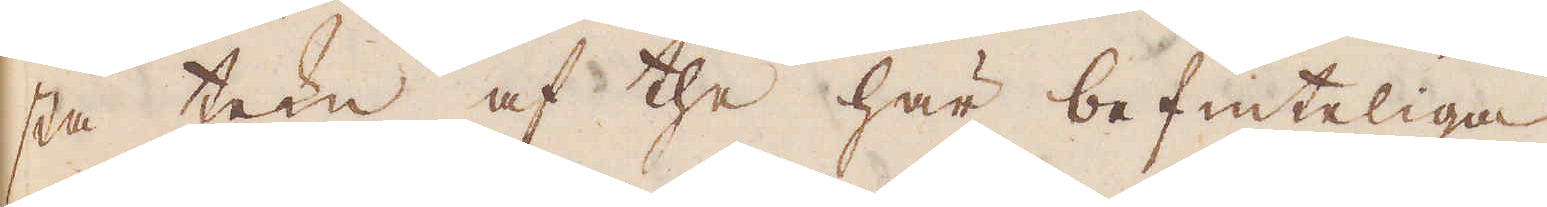sta tekn af the här befinteliga
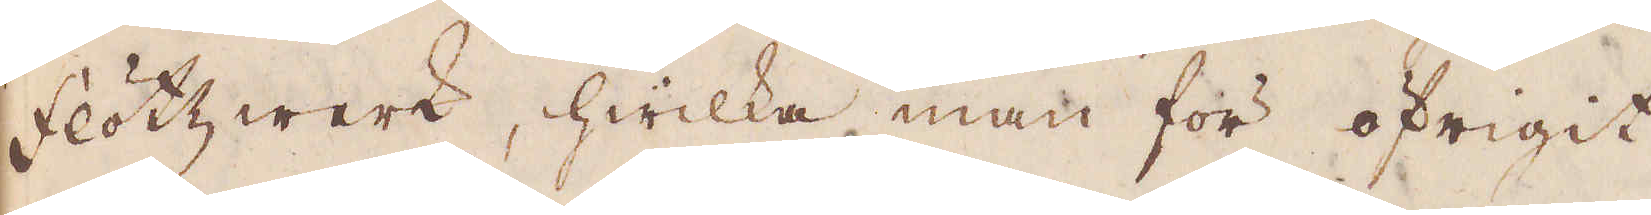flötz werk, hwilka man för öfrigit
